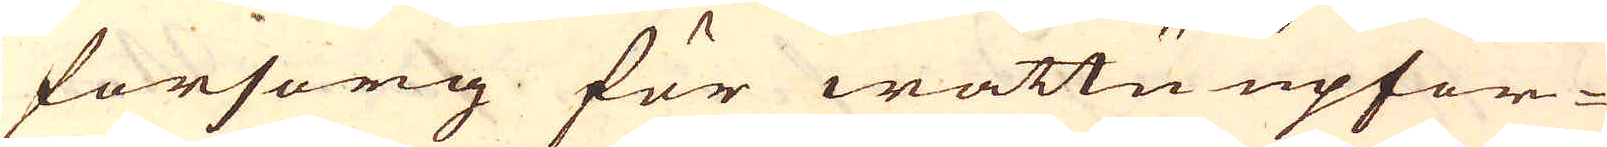försorg för wattnu upfor-
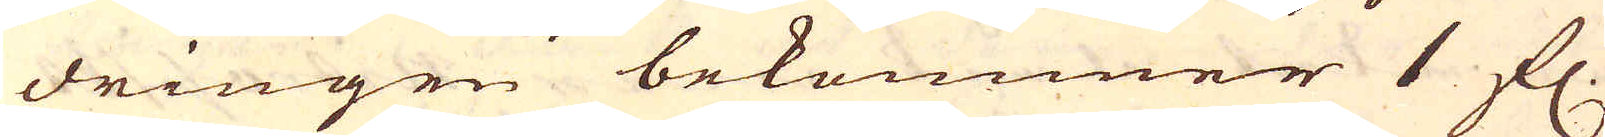dringen bekommer 1 fl.
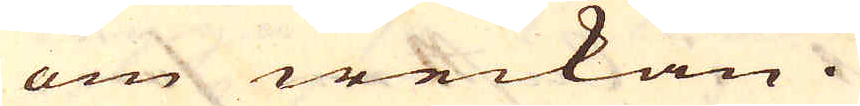om weckan.
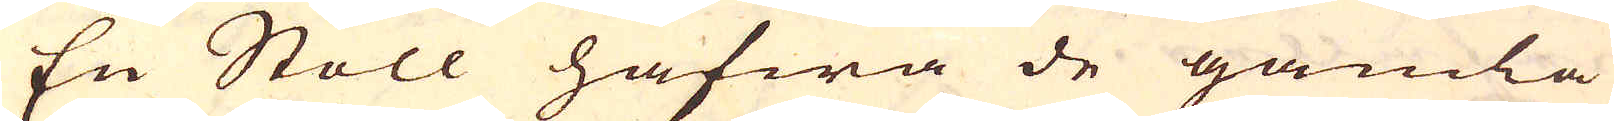En Stoll hafwa de gamla
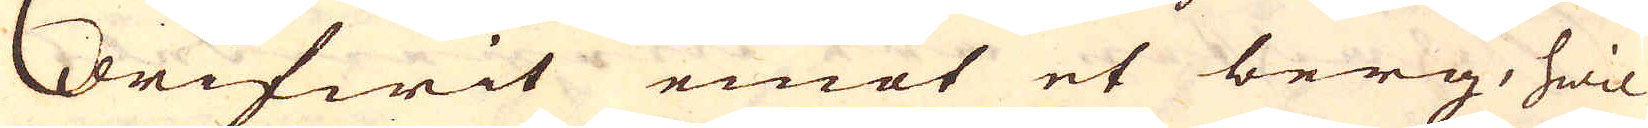drifwit emot et berg, hwil-
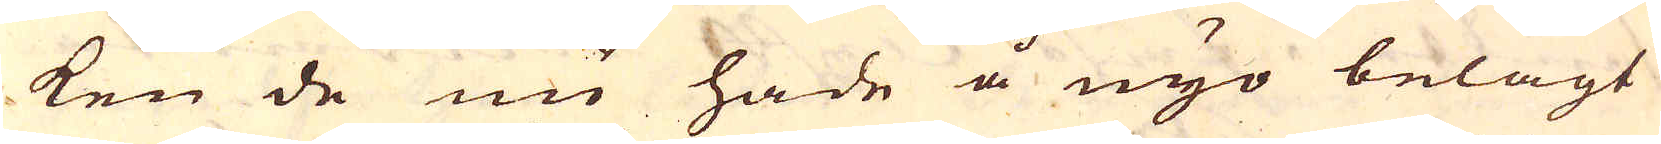ken de nu hade å nyo belagt
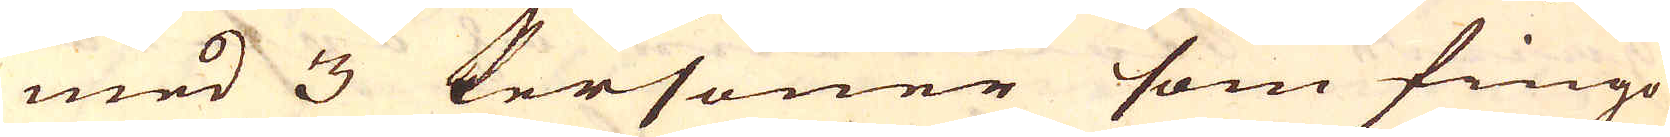med 3 Personer som fingo
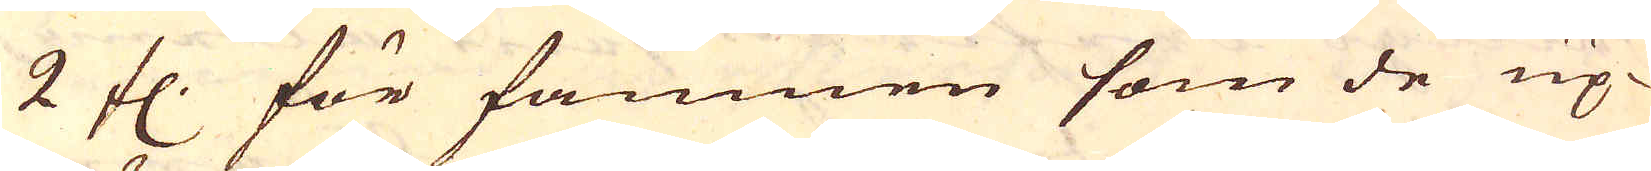2 fl. för famnen som de up-
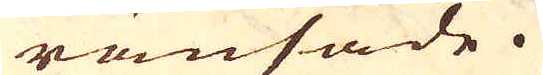ränsade.
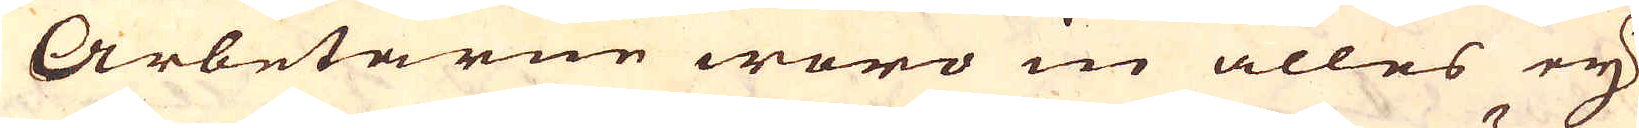Arbetarne woro in alles ey
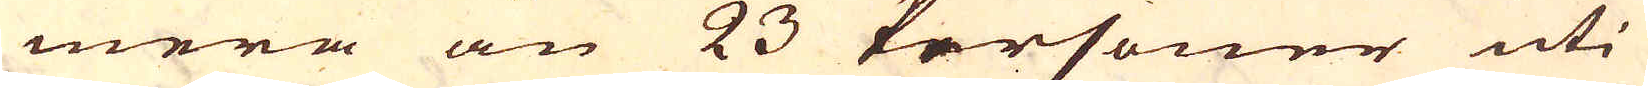mera än 23 Personer uti
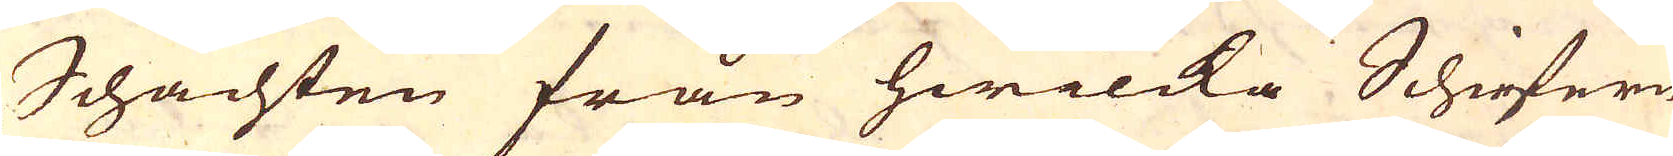Schachten från hwilcka Schiefern
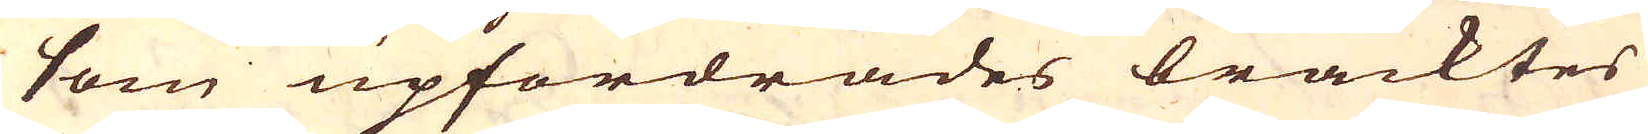som upfordrades bracktes
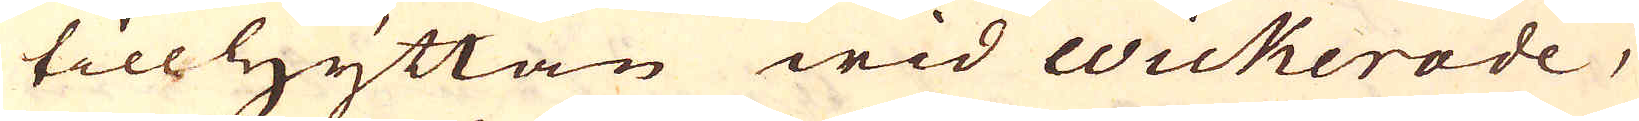till hyttan wid Wickerode,
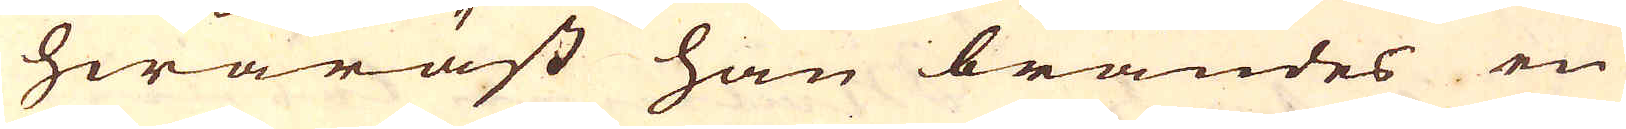hwaräst han brändes en
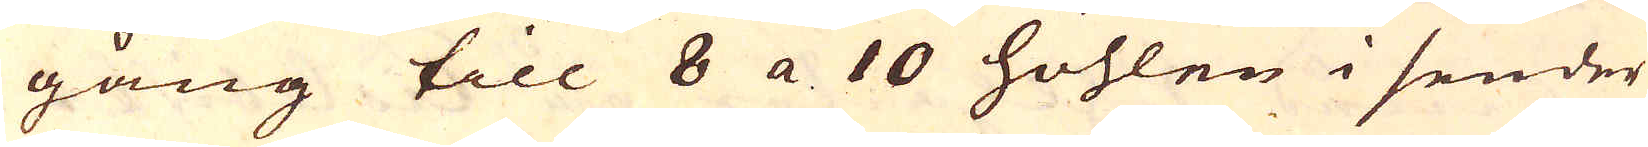gång till 8 a 10 höhlen i sender
